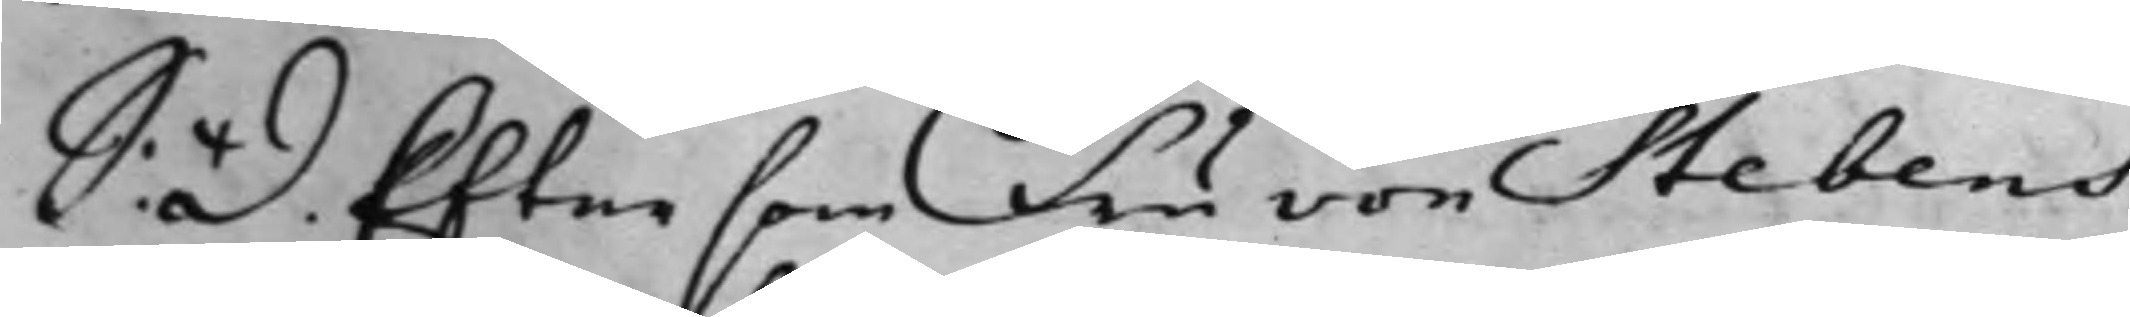S: D: Eftersom Fru von Stebens
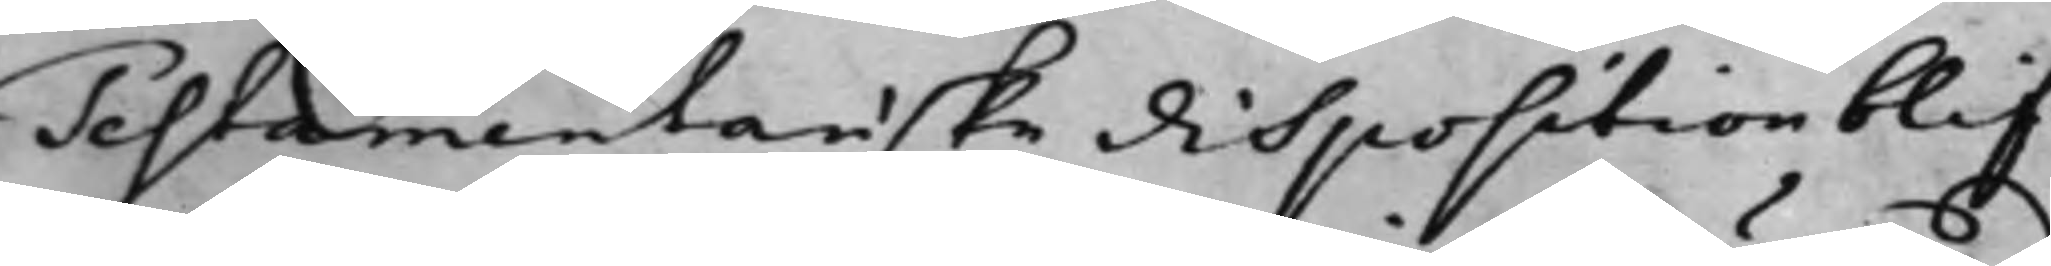Testamentariske disposition blif¬
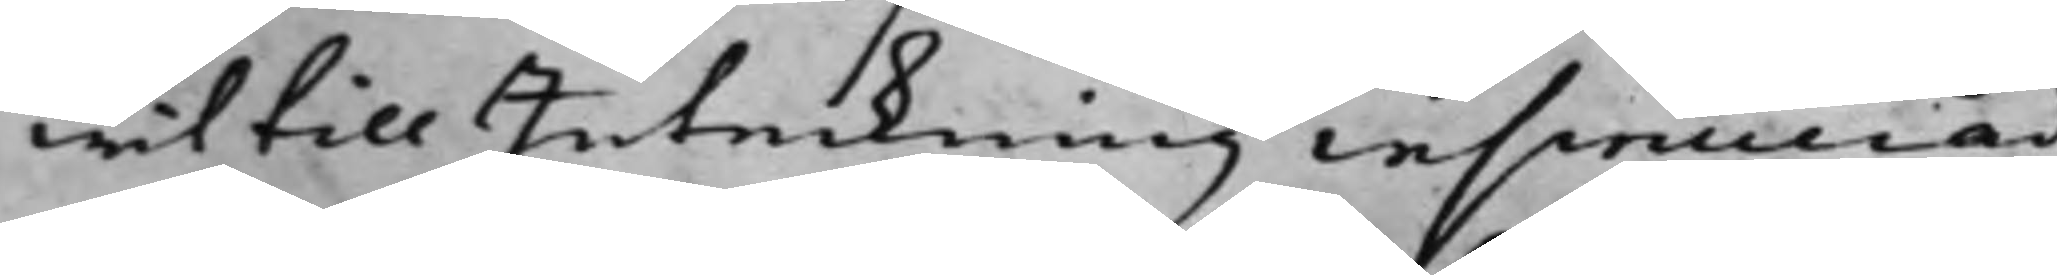wit till Inteckning insinuerad
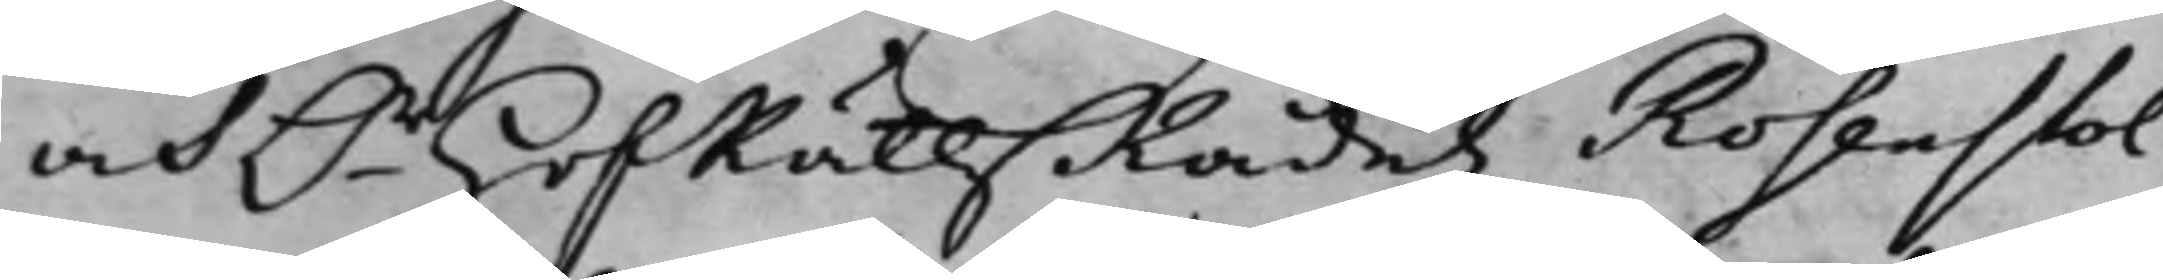och Hr HofRättzRådetz Rosenstol¬
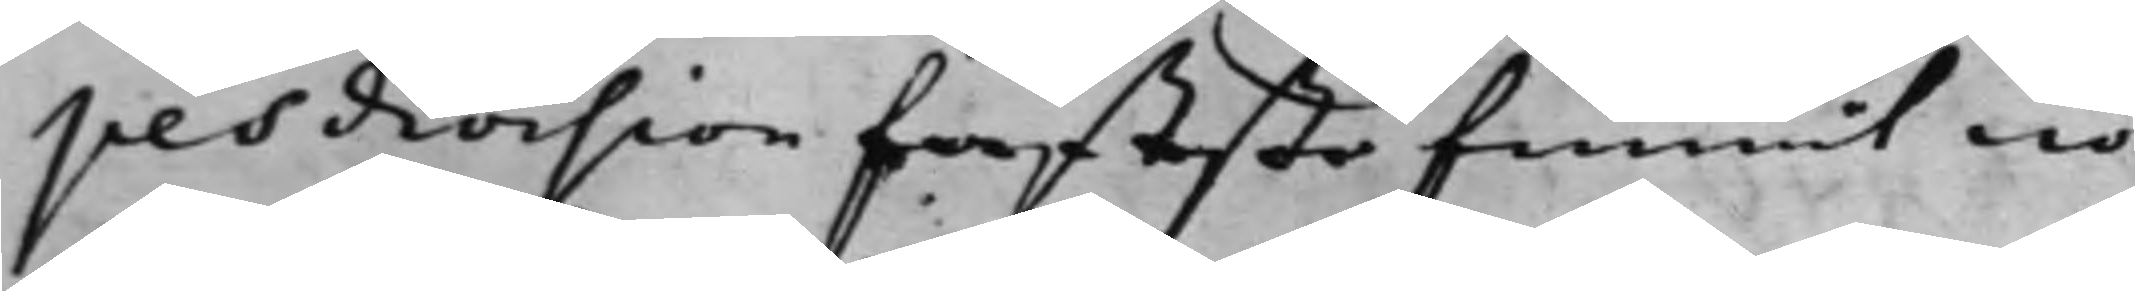pes division fasteste funnit nö¬
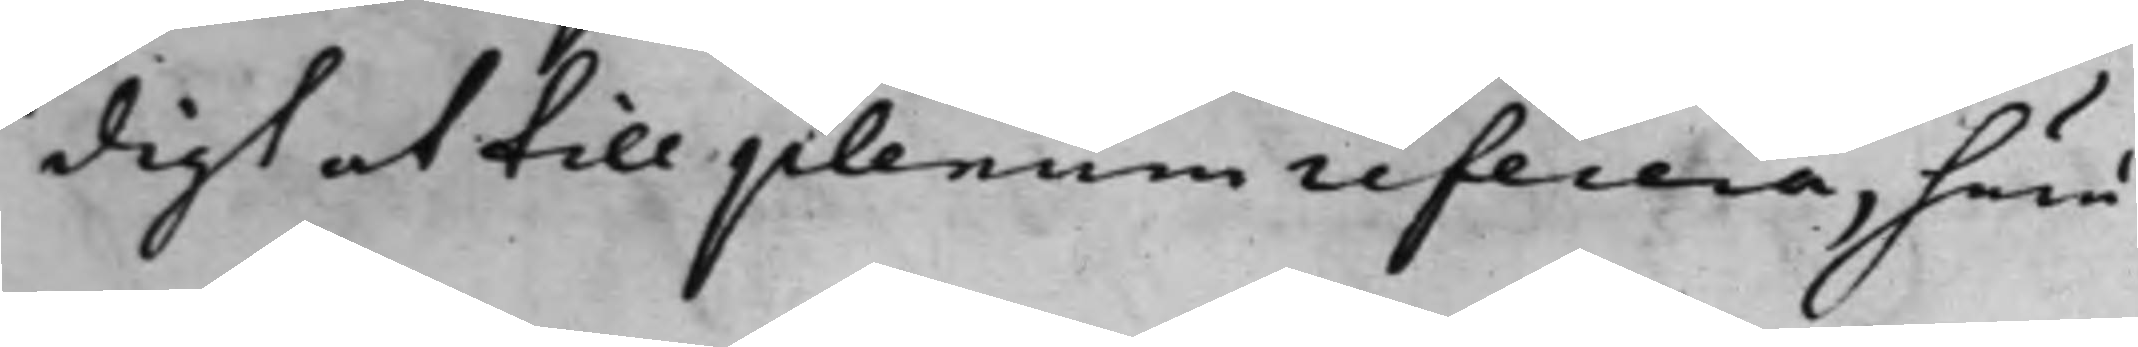digt at till plenum referera, huru¬
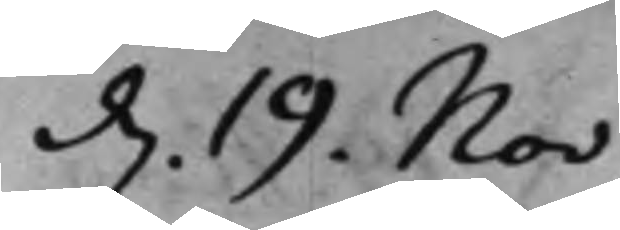d. 19. Nov
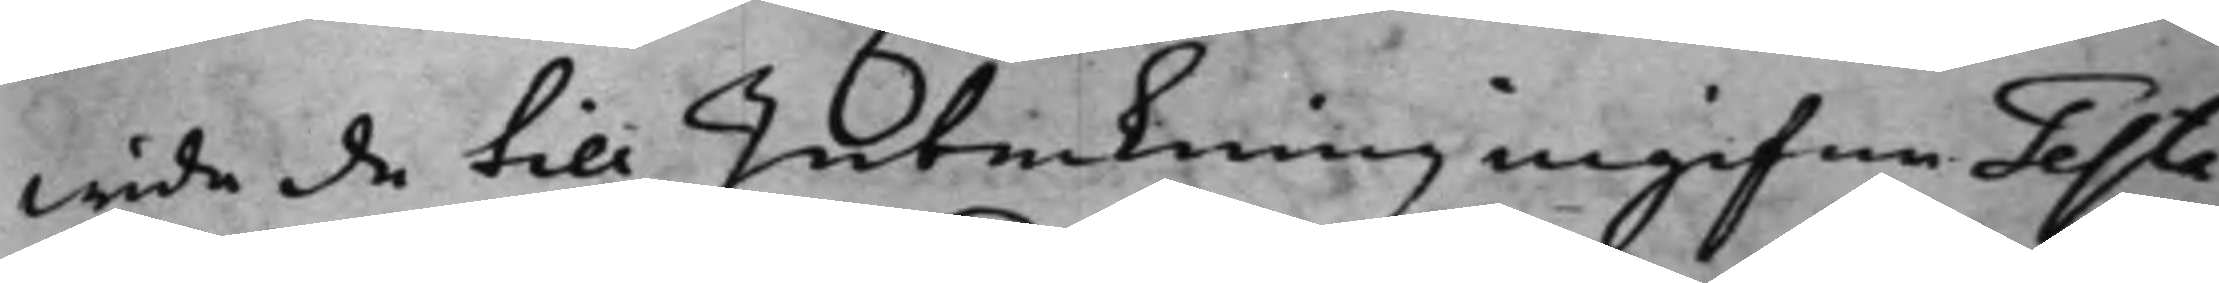wida de till Inteckning ingifne Testa¬
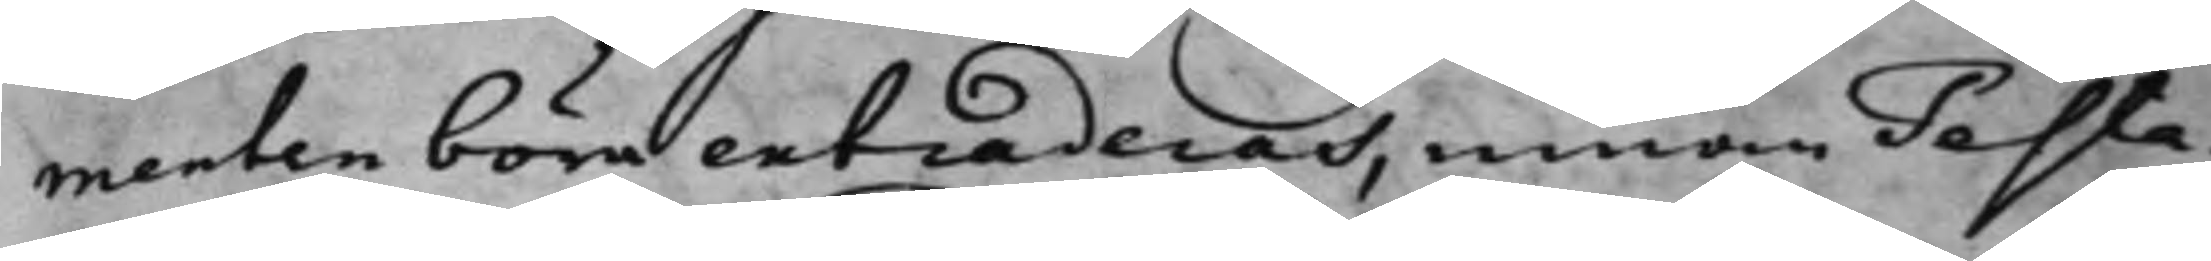menten böra extraderas, innan Testa¬
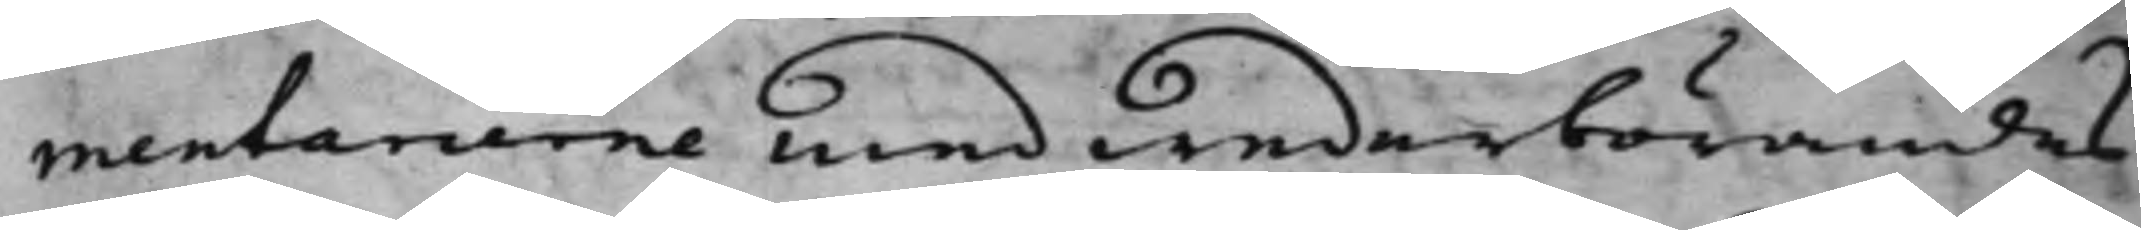mentarierne med wederbörandes
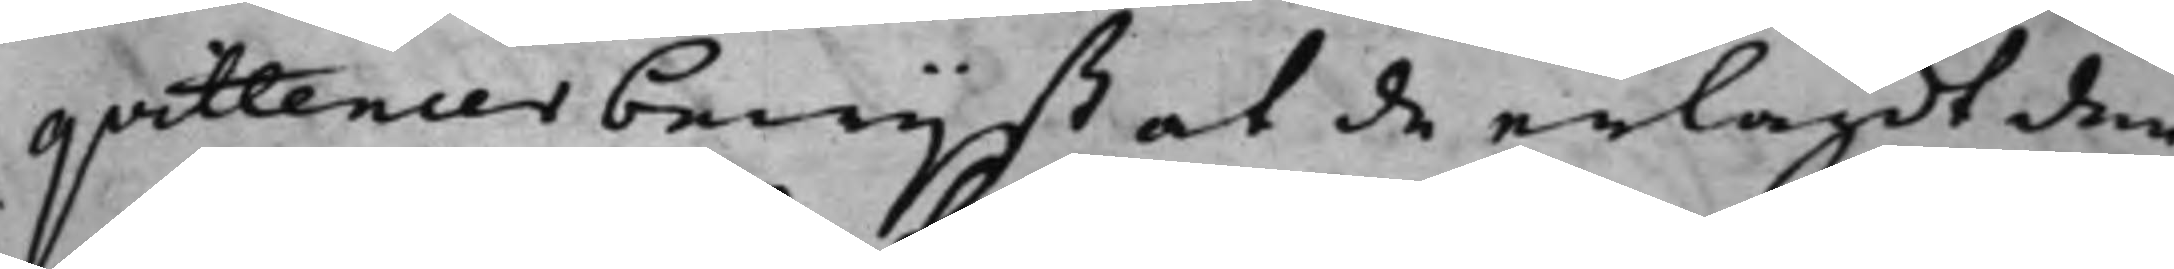qvittencer bewijst at de erlagdt den
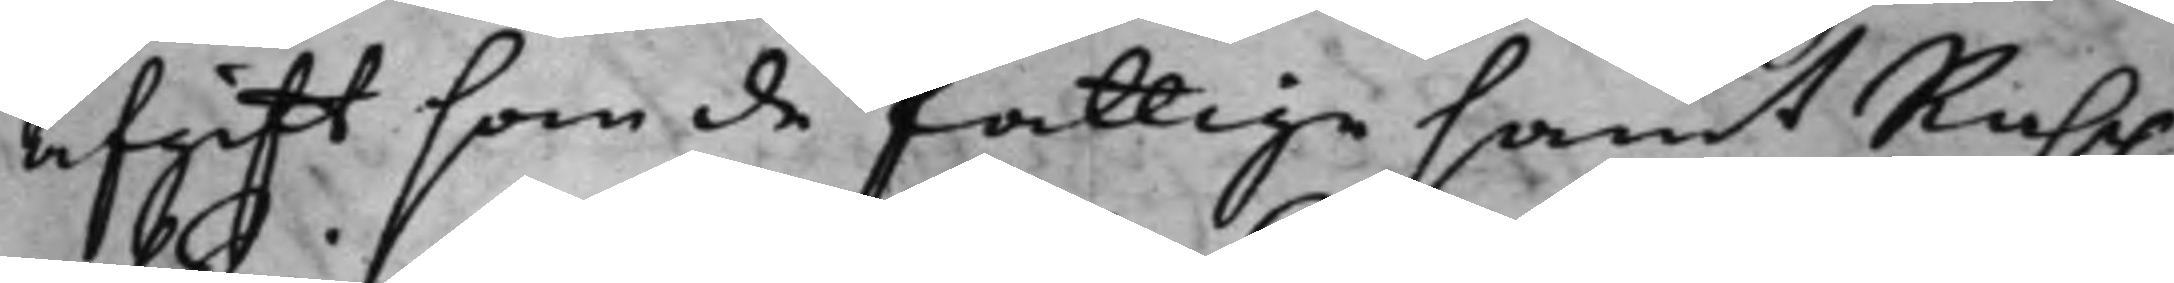afgift som de fattige samt Rasp-
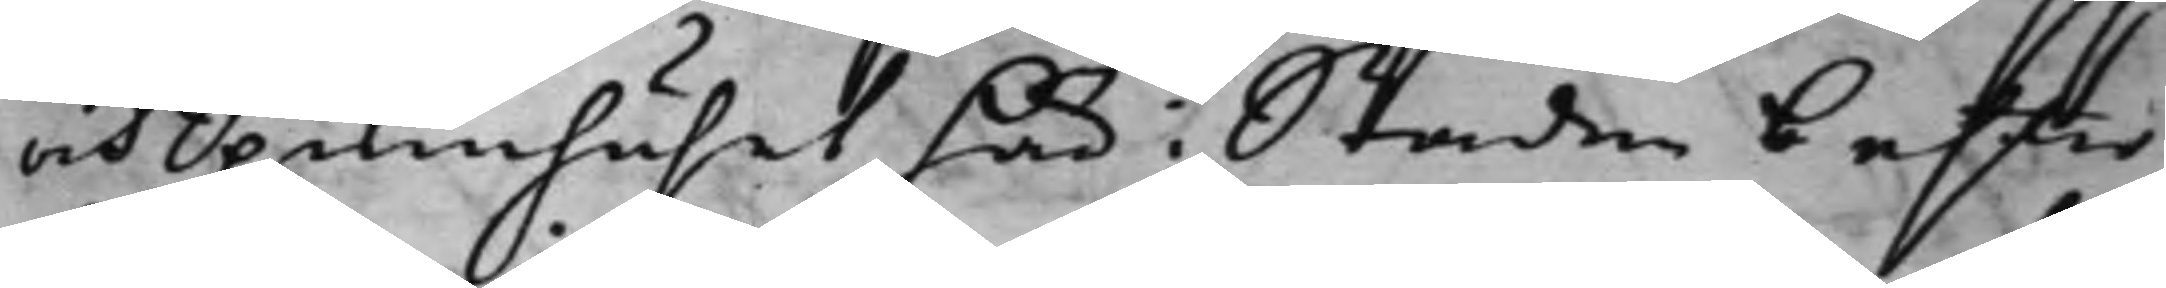och Spinnhuset här i Staden b efter
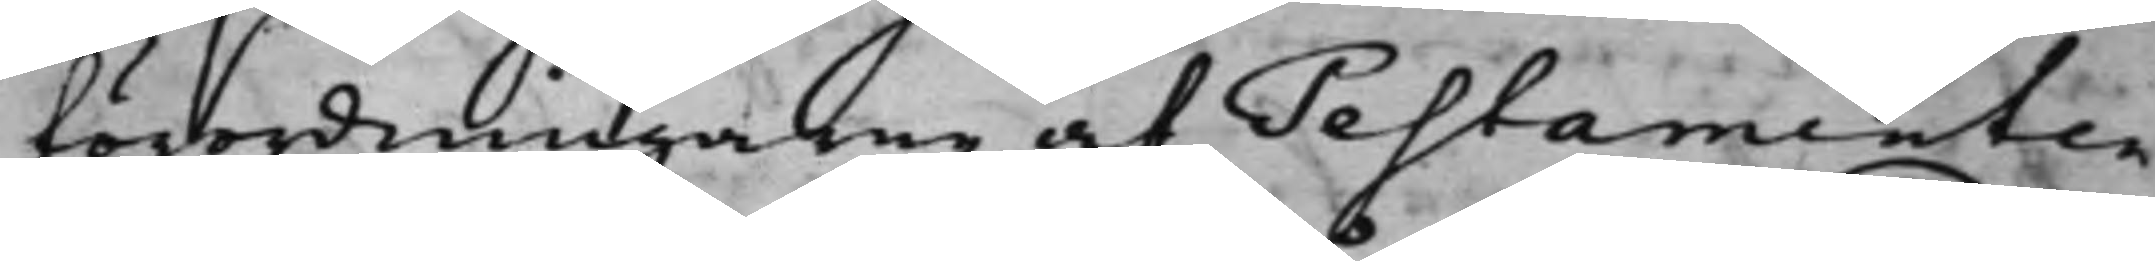förordningarne af Testamenten
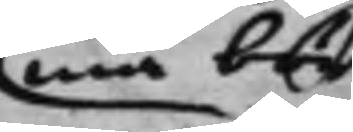ma bör
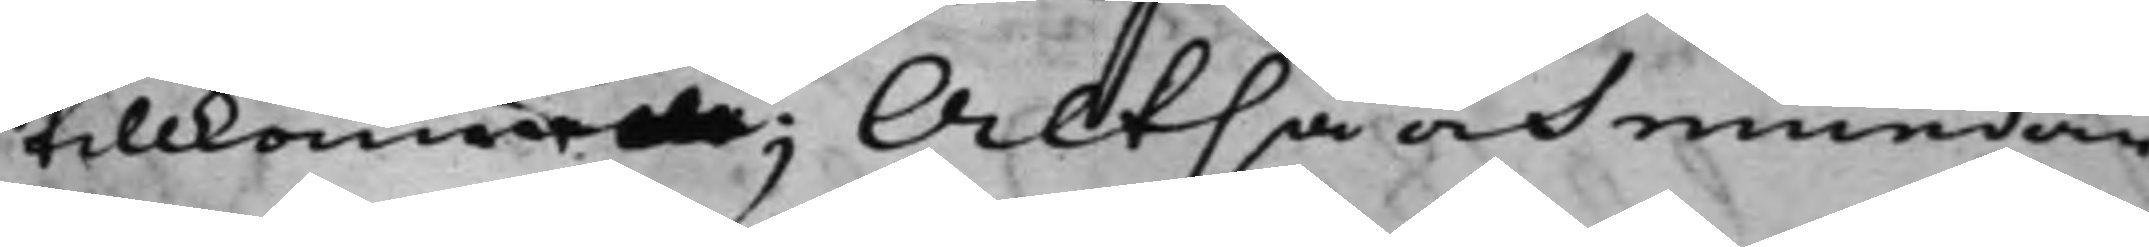tillkom; Altså och emedan
